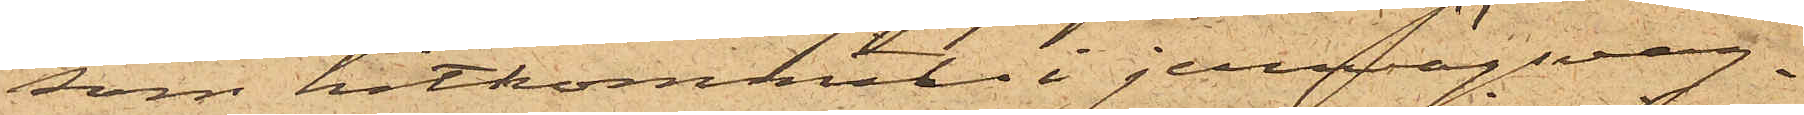som hitkommit i jernvägsvag¬
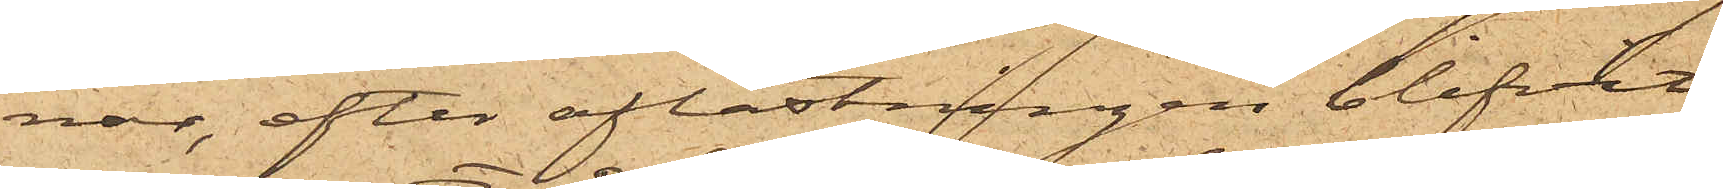nar, efter aflastningen blifvit
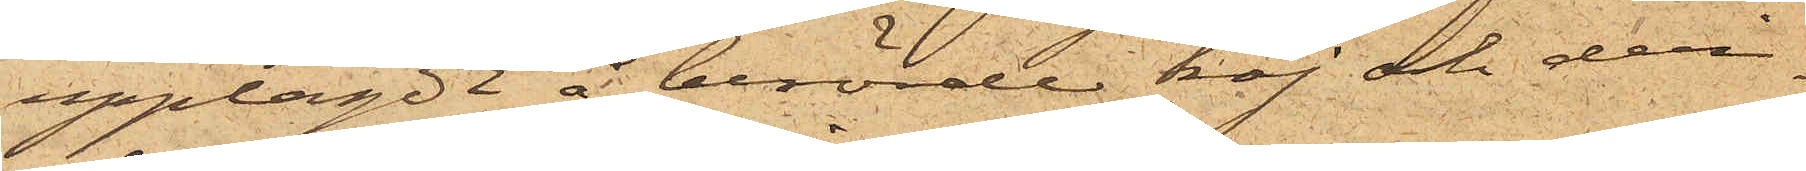upplagdt å berörde kaj och deri¬
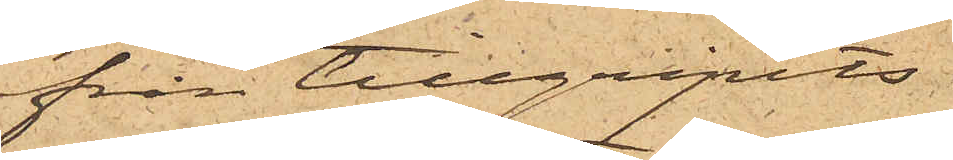från tillgripits.
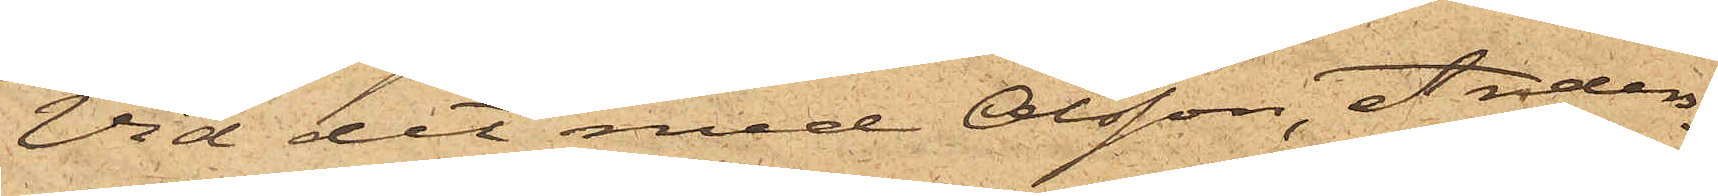Vid det med Olsson, Anders¬
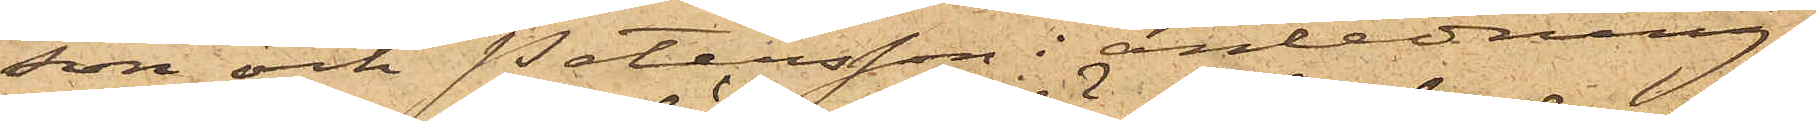son och Petersson i anledning
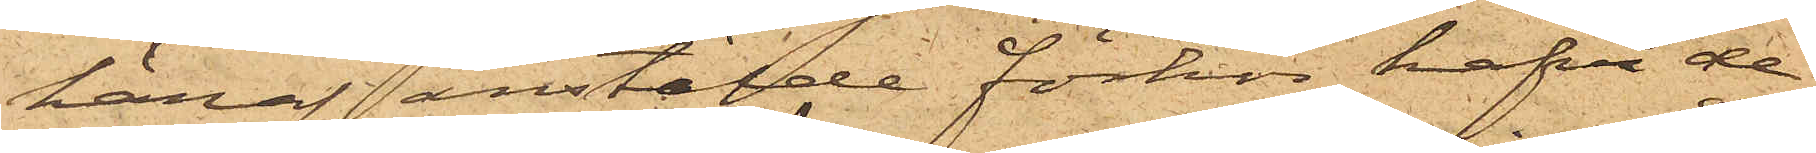häraf anstälde förhör hafva de
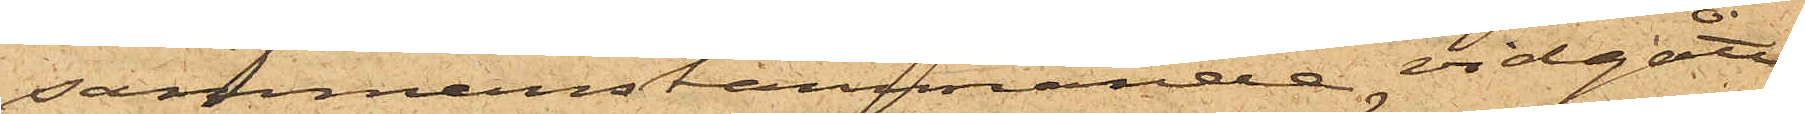sammanstämmande vidgått
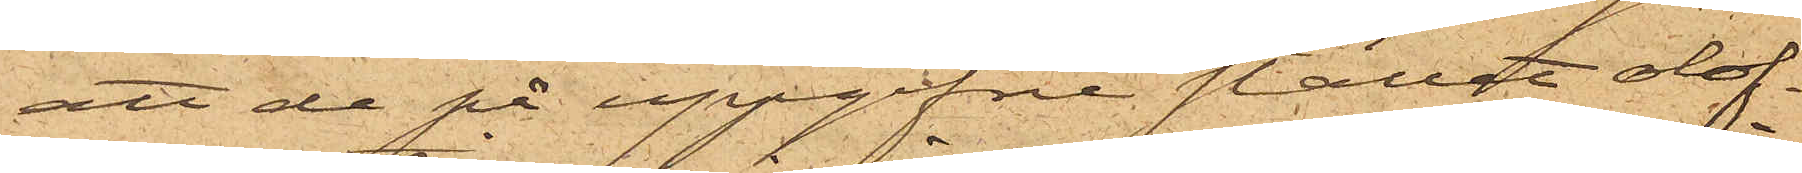att de på uppgifne stället olof¬
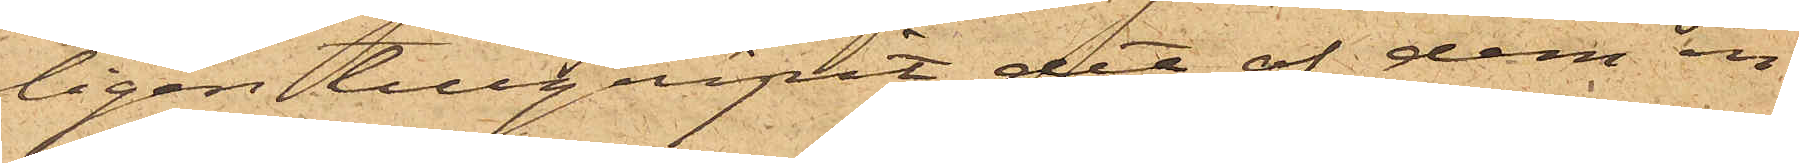ligen tillgripit det af dem in¬
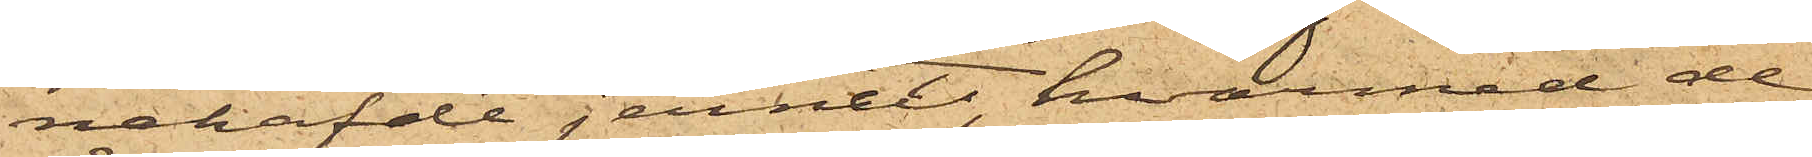nehafde jernet, hvarmed de
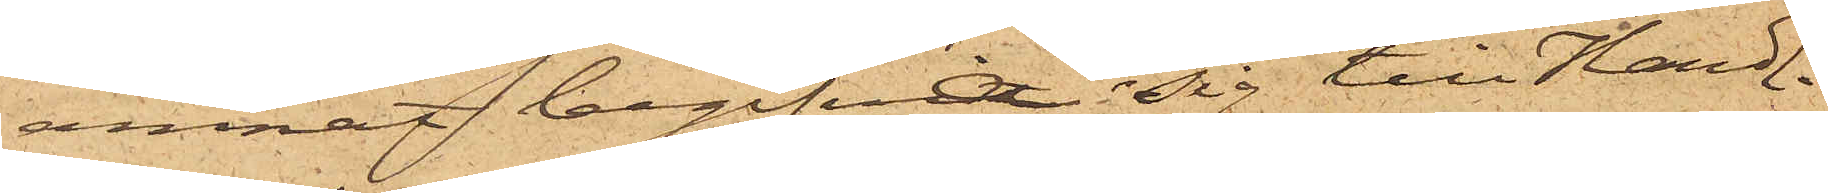ämnat begifva sig till Handl.
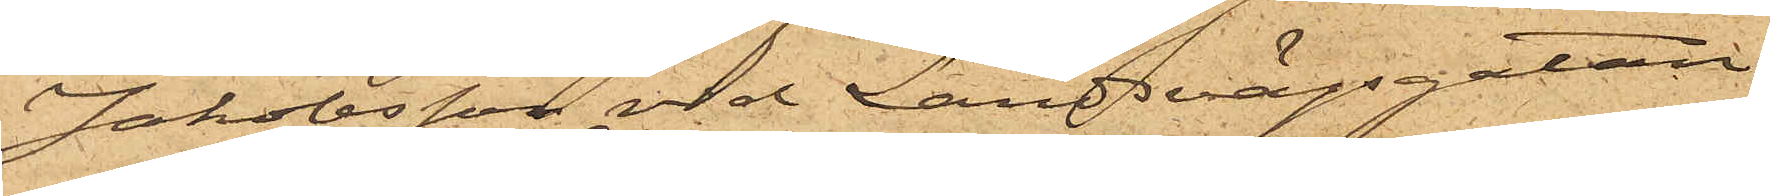Jakobsson vid Landsvägsgatan
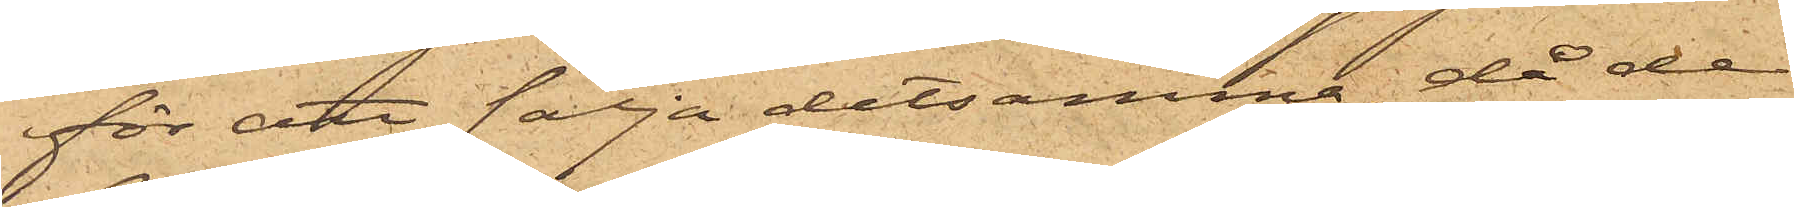för att sälja detsamma, då de
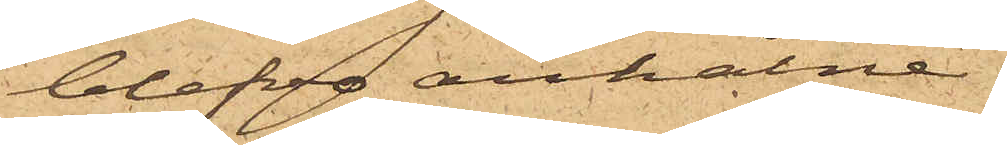blefvo anhålne.
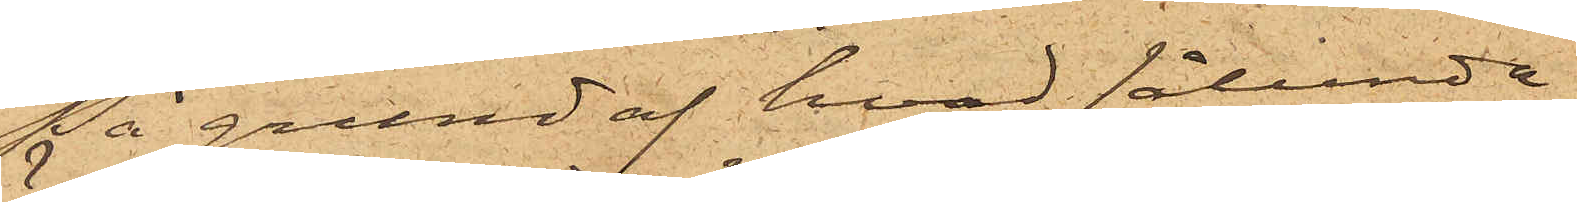På grund af hvad sålunda
